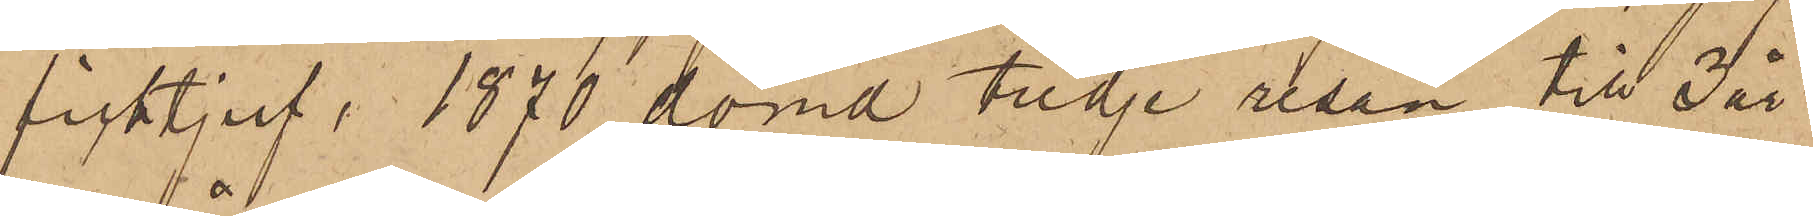ficktjuf, 1870 dömd tredje resan till 3 år
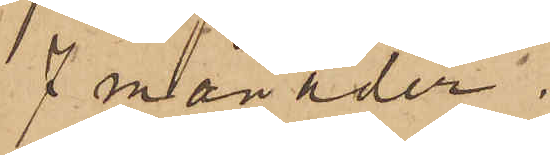7 månader;
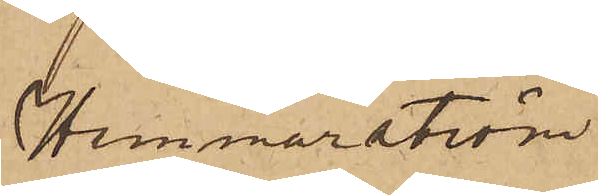Hammarström"
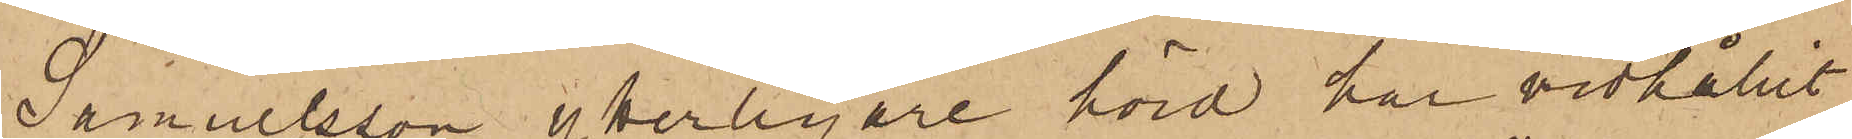Samuelsson ytterligare hörd har vidhållit
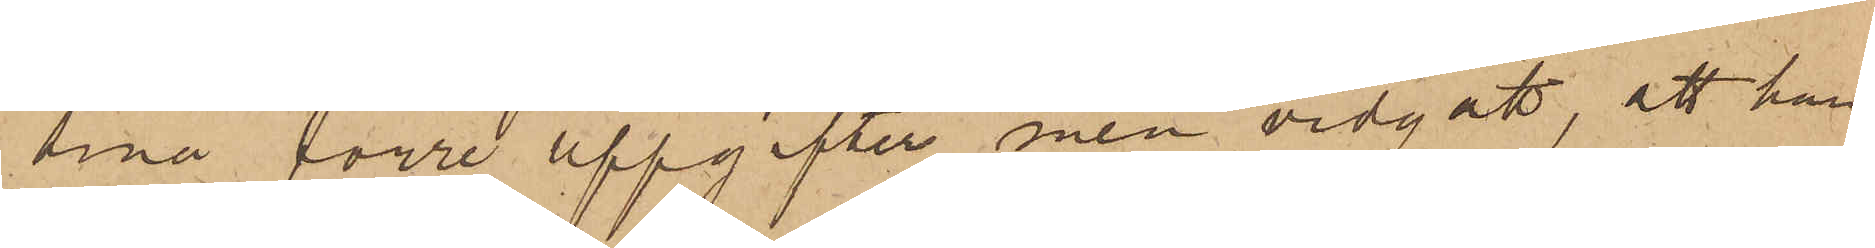sina förre uppgifter men vidgått, att han
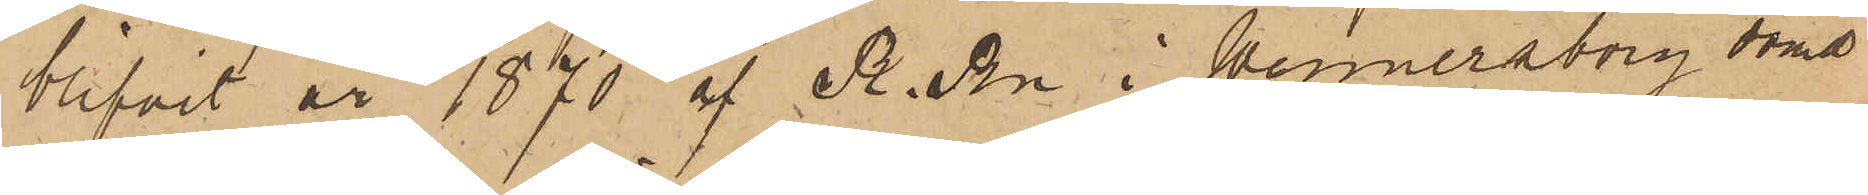blifvit år 1870 af R. Rn i Wennersborg dömd
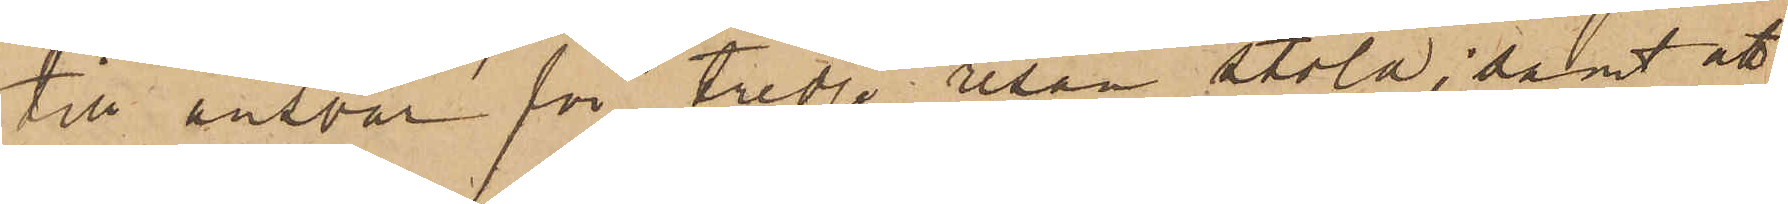till ansvar för tredje resan stöld; samt att
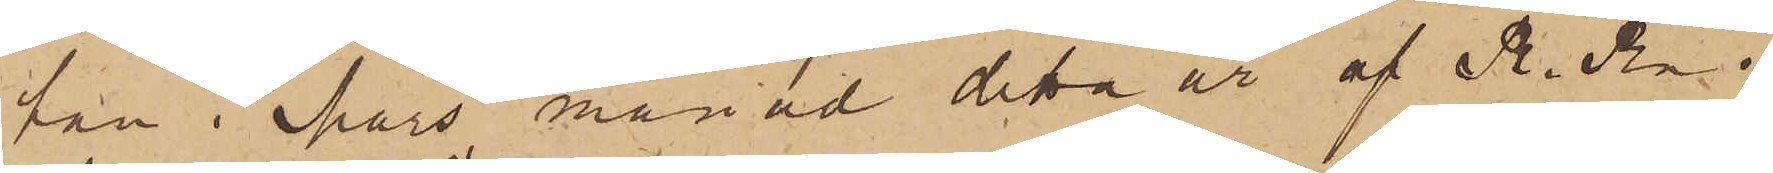han i Mars månad detta år af R. Rn i
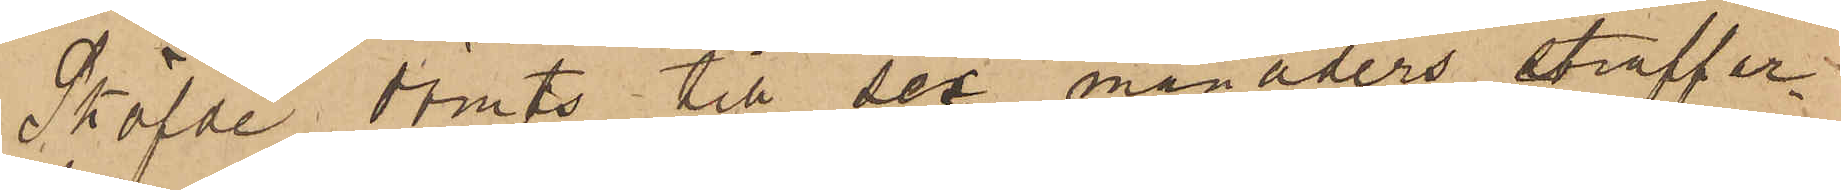Sköfde dömts till sex månaders straffar¬
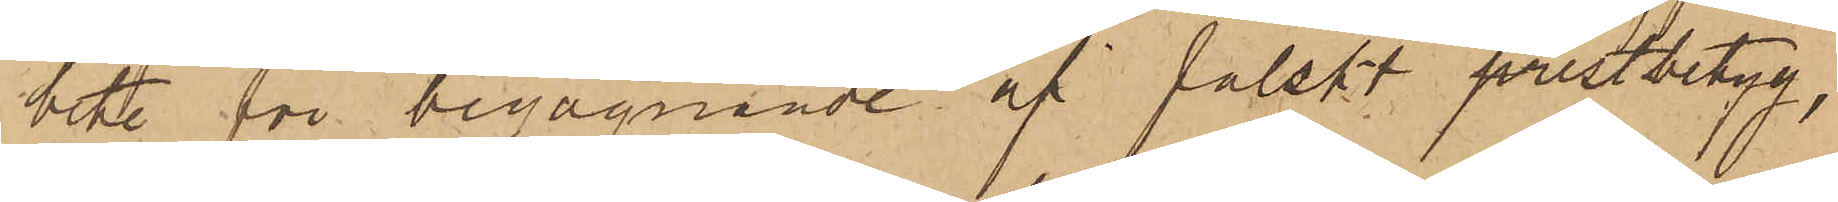bete för begagnande af falskt prestbetyg,
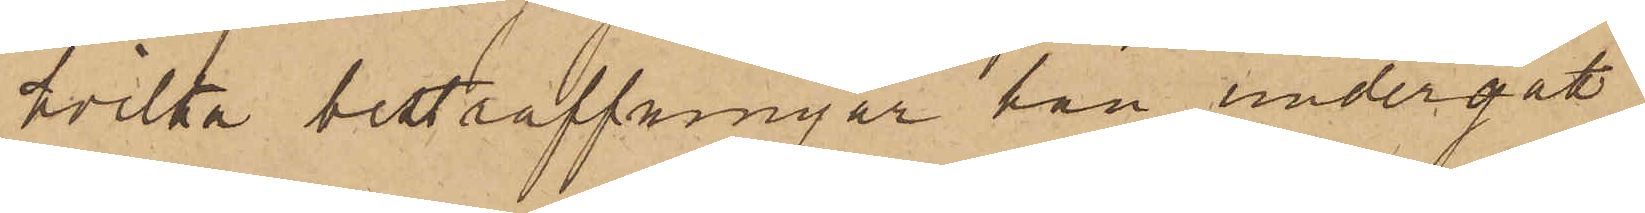hvilka bestraffningar han undergått.
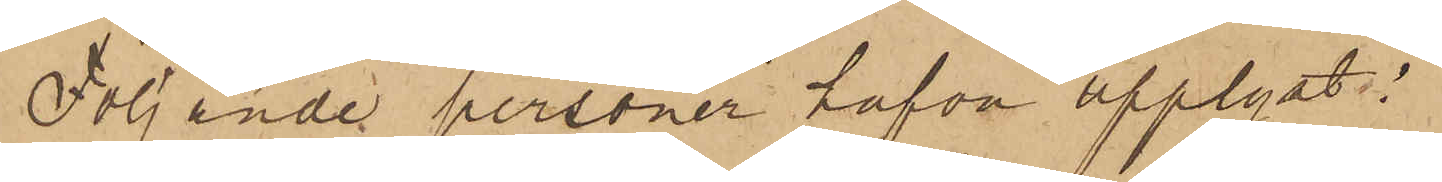Följande personer hafva upplyst:
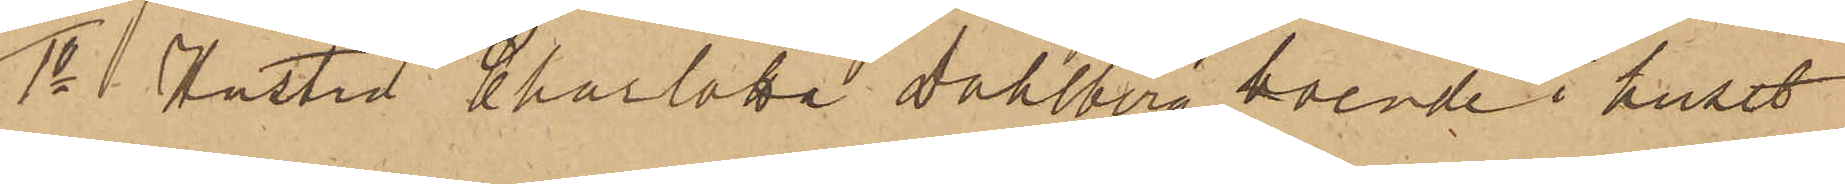1o Hustru Charlotta Dahlberg, boende i huset
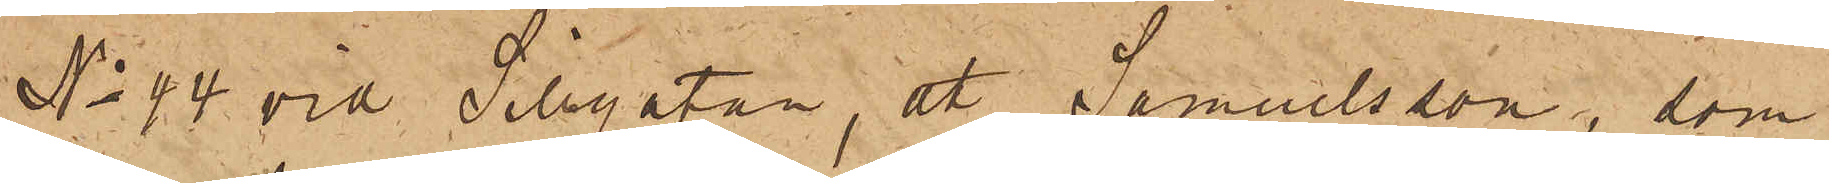No 44 vid Sillgatan, att Samuelsson, som
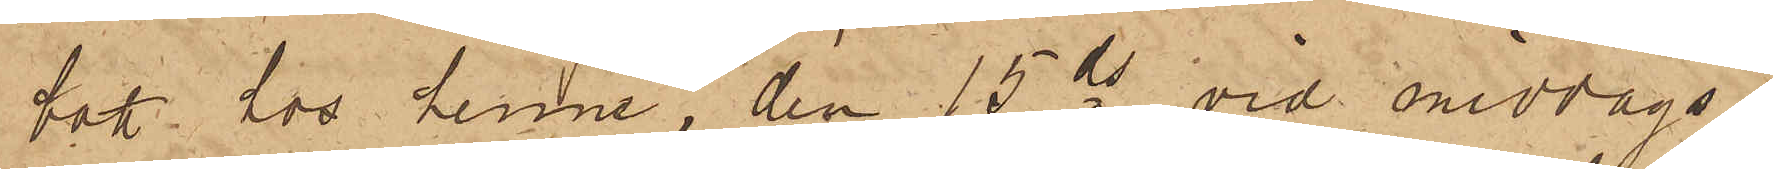bott hos henne, den 15 ds vid middags¬
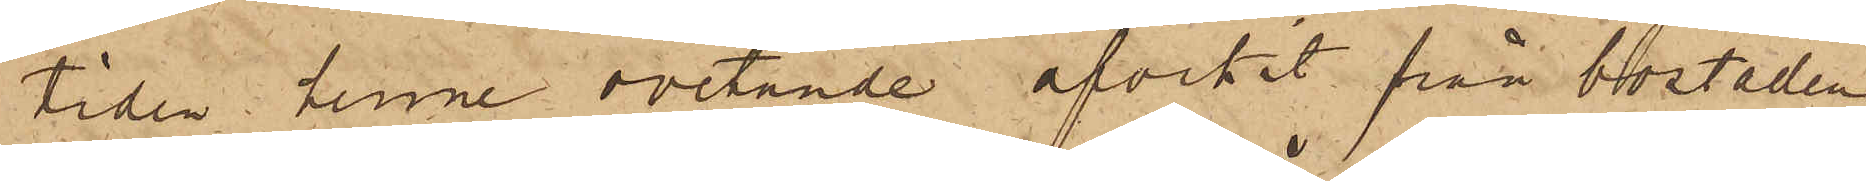tiden henne ovetande afvikit från bostaden,
